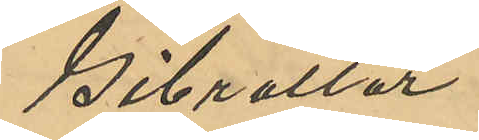Gibraltar.
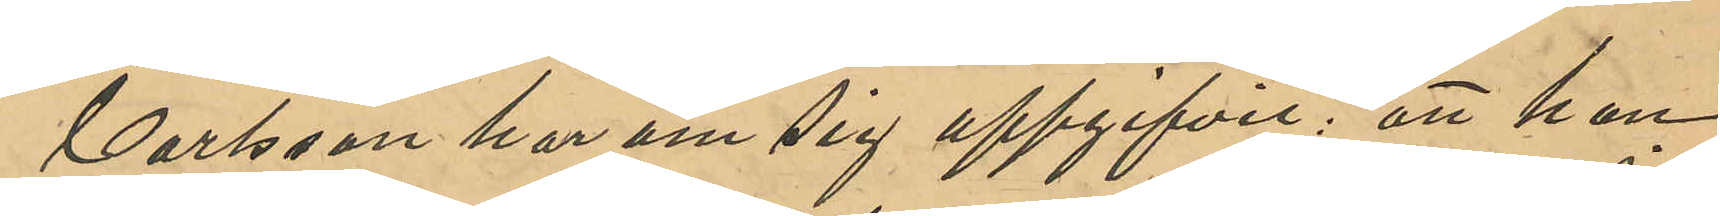Carlsson har om sig uppgifvit: att han
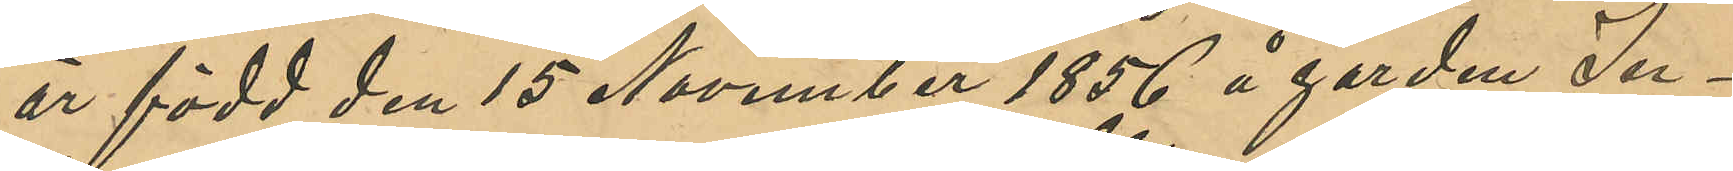är född den 15 November 1856 å gården In¬
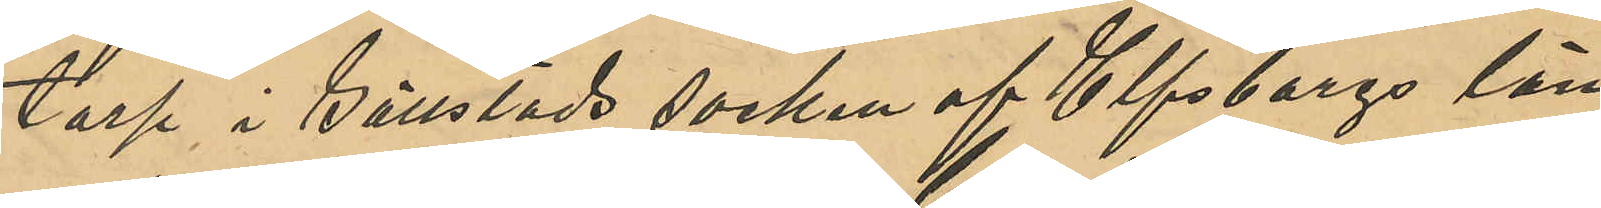torp i Gällstads socken af Elfsborgs län
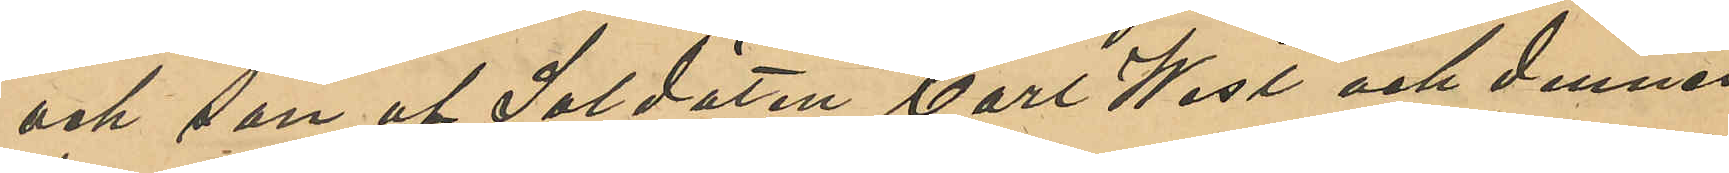och son af Soldaten Carl West och dennes
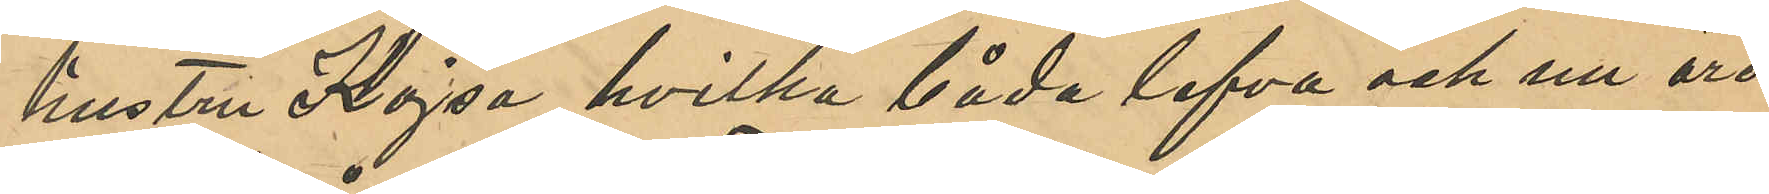hustru Kajsa, hvilka båda lefva och nu äro
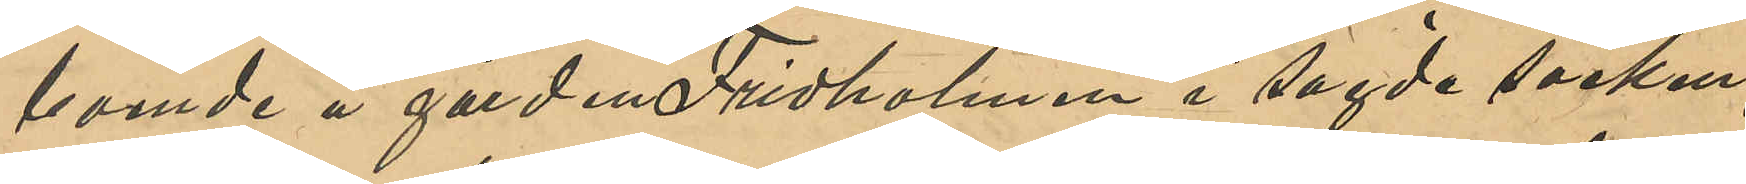boende å gården Fridholmen i sagde socken;
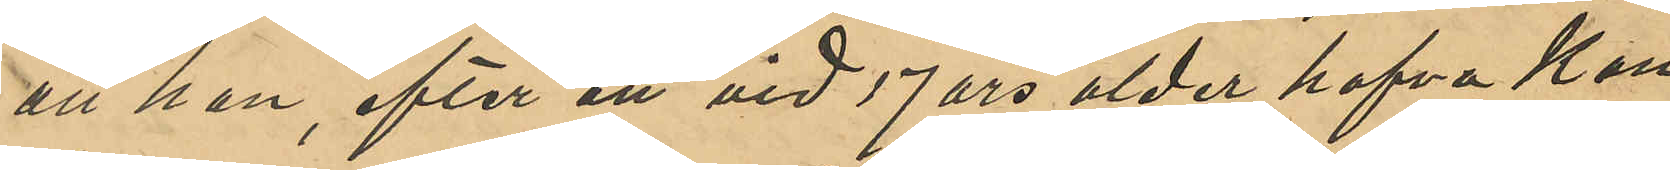att han, efter att vid 17 års ålder hafva Kon¬
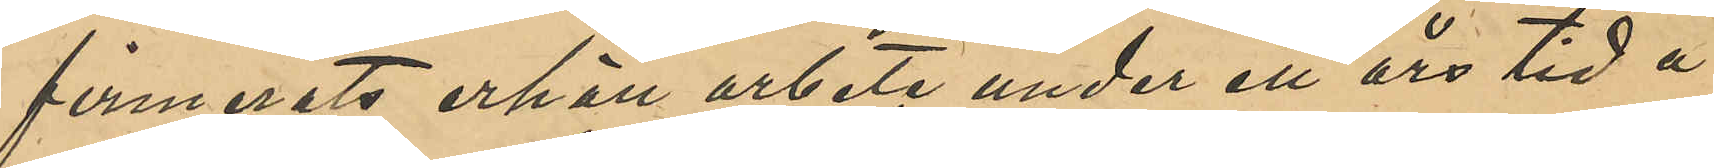firmerats erhöll arbete under ett års tid å
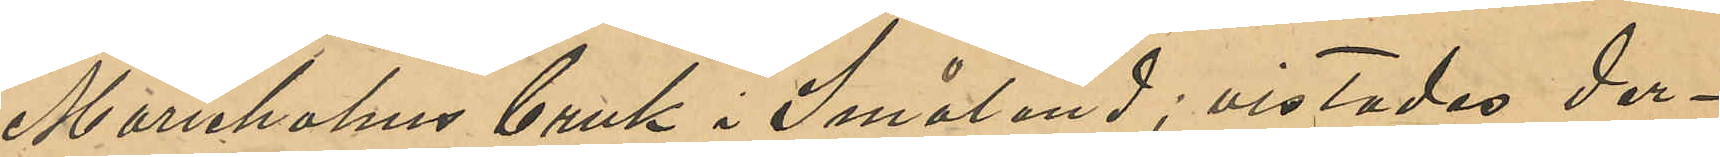Marieholms bruk i Småland; vistades der¬
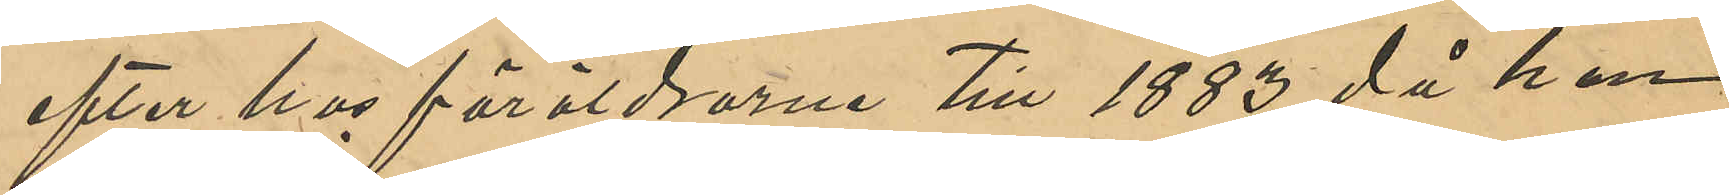efter hos föräldrarne till 1883 då han
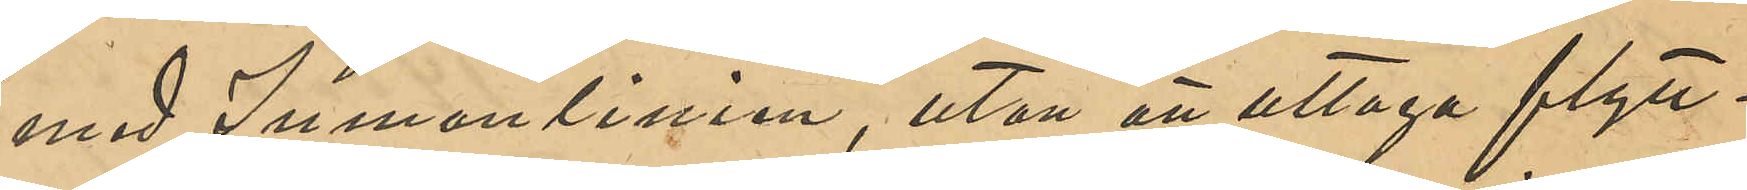med Inmanlinien, utan att uttaga flytt¬
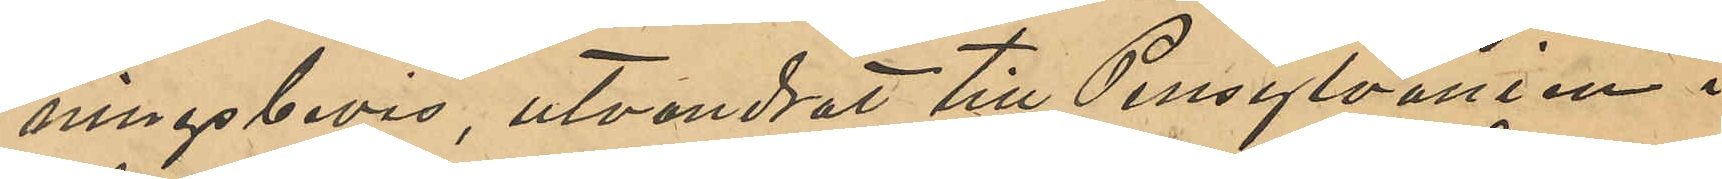ningsbevis, utvandrat till Pennsylvanien i
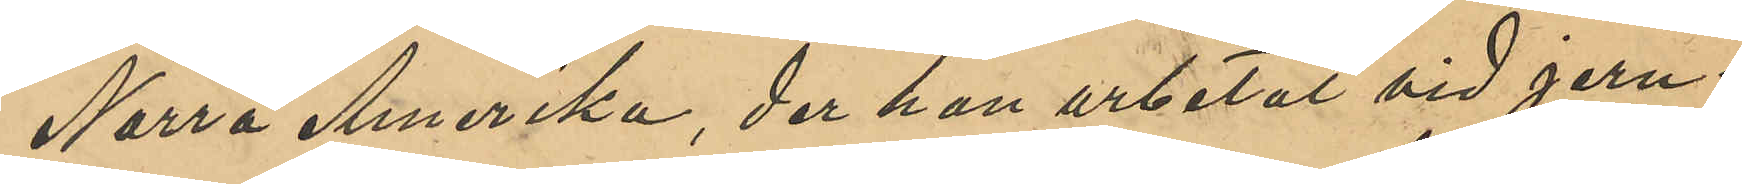Norra Amerika, der han arbetat vid jern¬
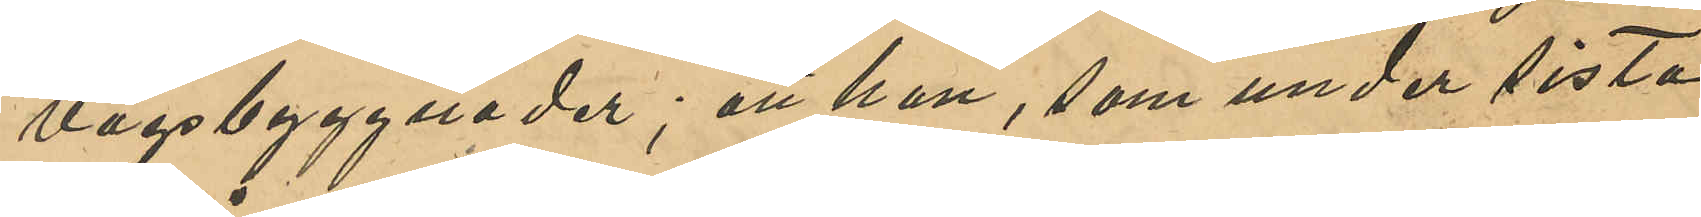vägsbyggnader; att han, som under sista
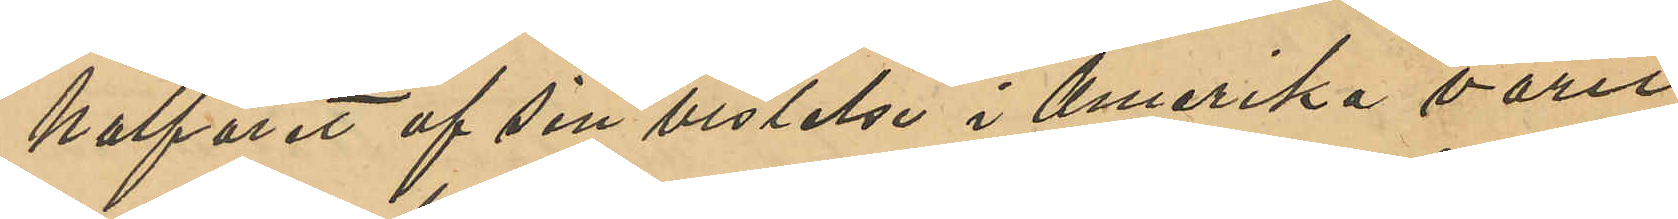halfåret af sin vistelse i Amerika varit
